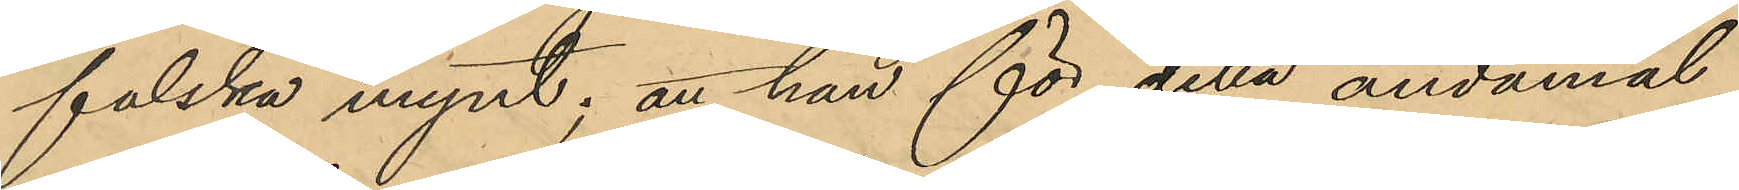falska mynt; att han för detta ändamål
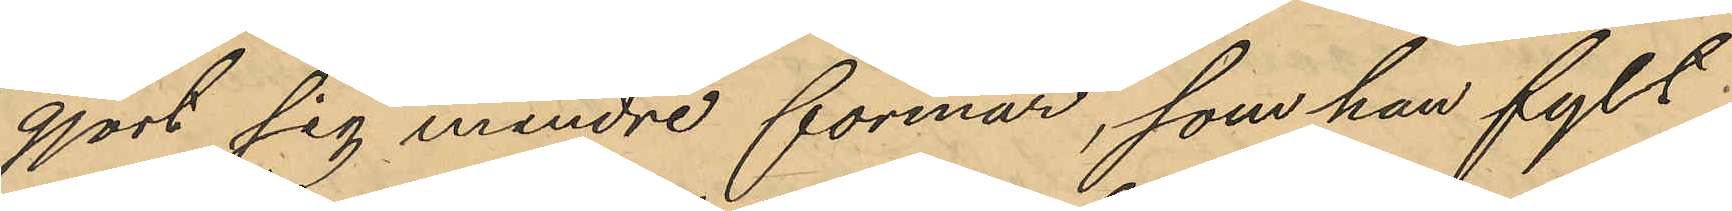gjort sig mindre formar, som han fylt
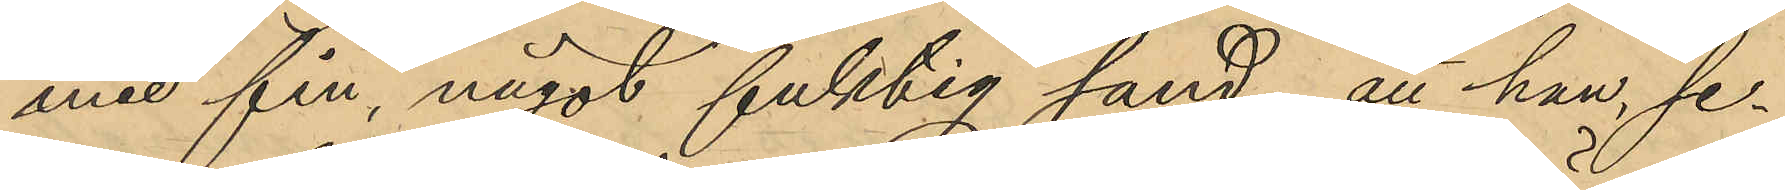med fin, något fuktig sand; att han, se¬
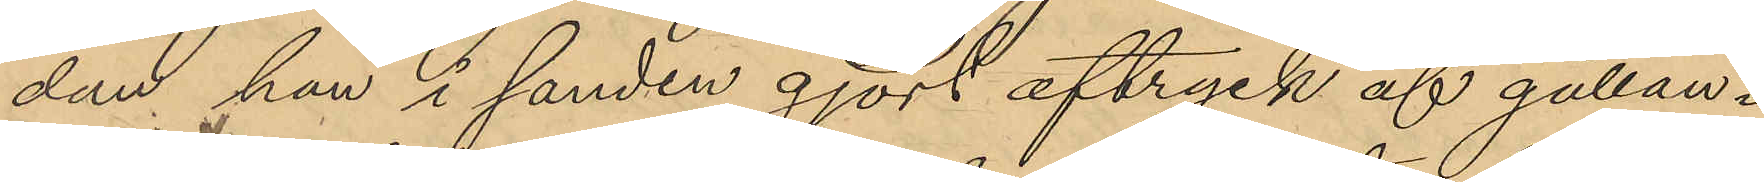dan han i sanden gjort aftryck af gällan¬
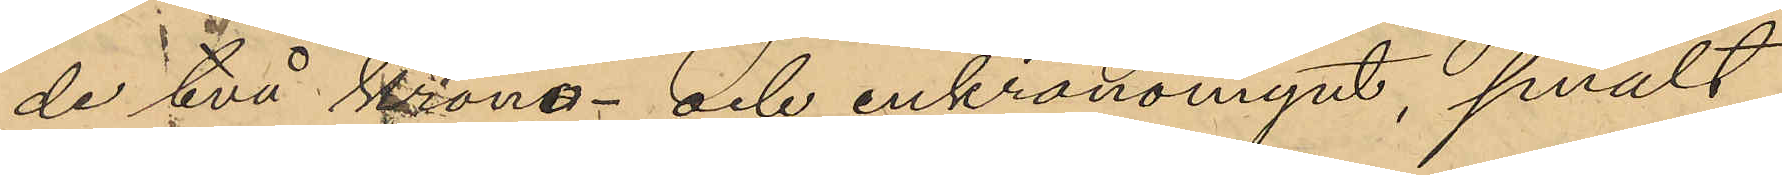de två krono- och enkronomynt, smält
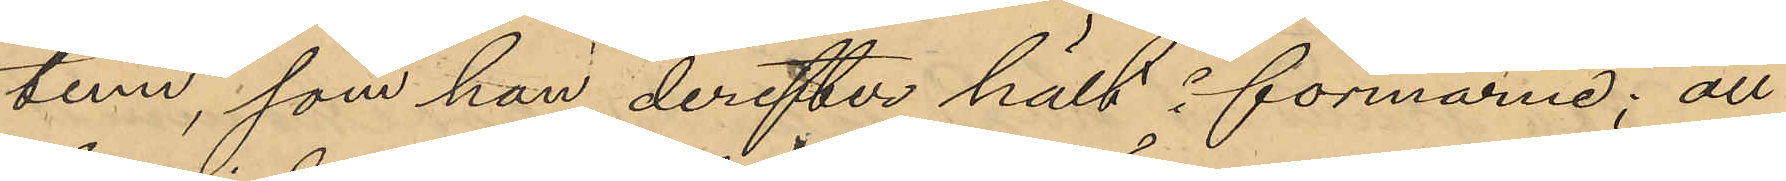tenn, som han derefter hält i formarne; att
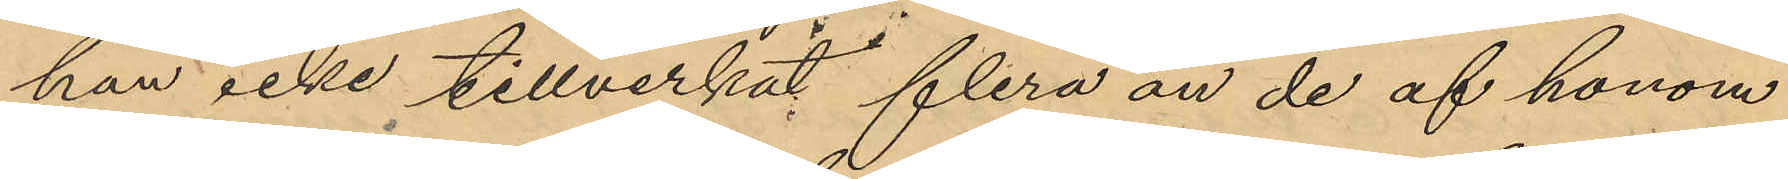han icke tillverkat flera än de af honom
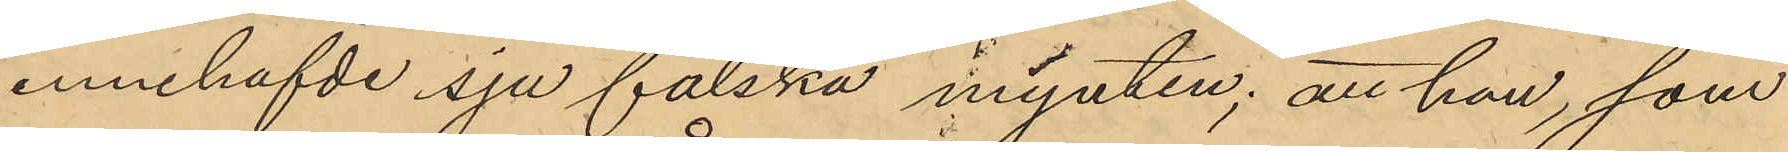innehafvde sju falska mynten; att han, som
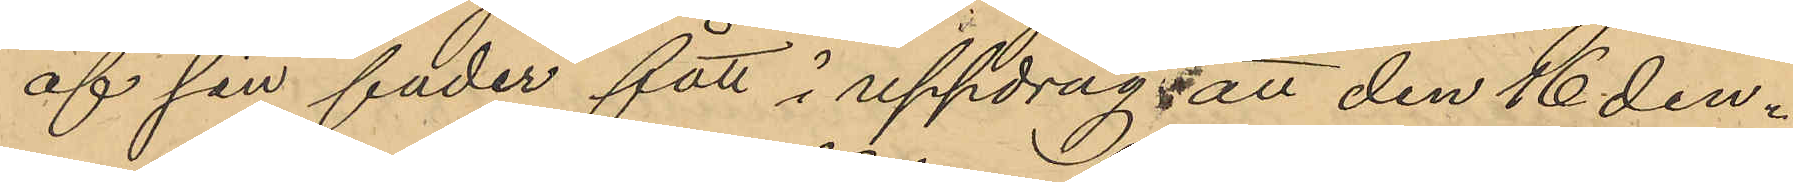af sin fader fått i uppdrag att den 16 den¬
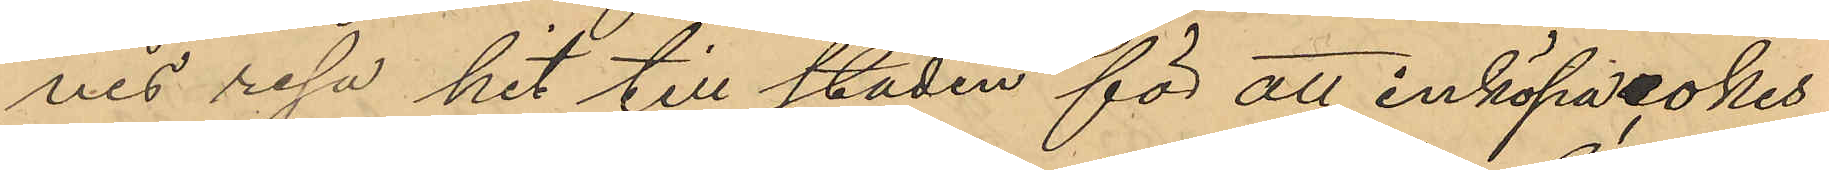nes resa hit till staden för att inköpa, okes,
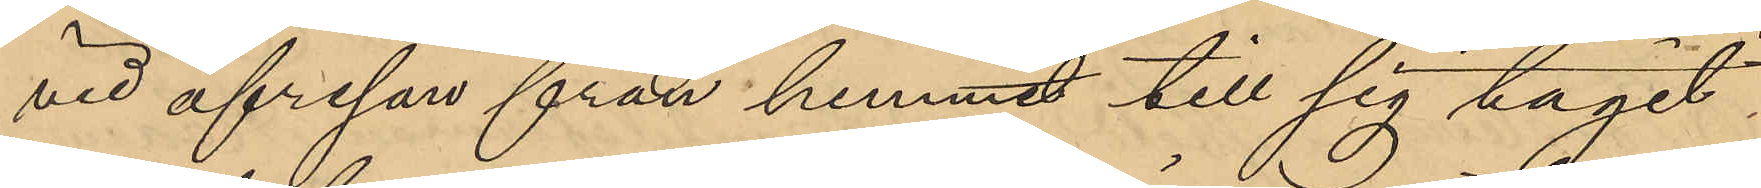vid afresan från hemmet till sig tagit
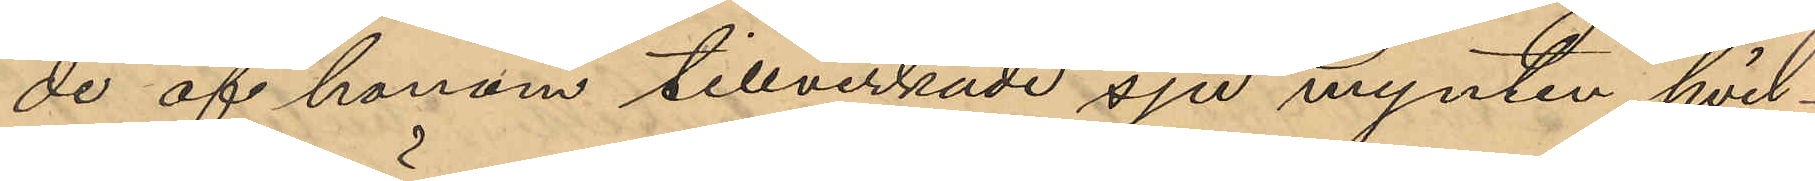de af honom tillverkade sju mynten, hvil¬
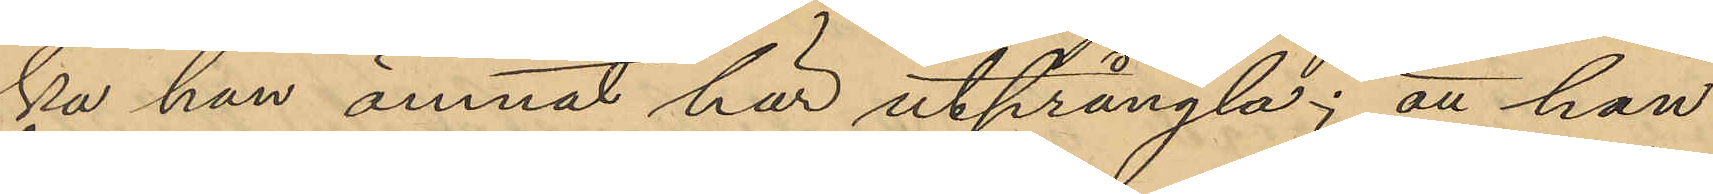ka han ämnat här utprångla; att han
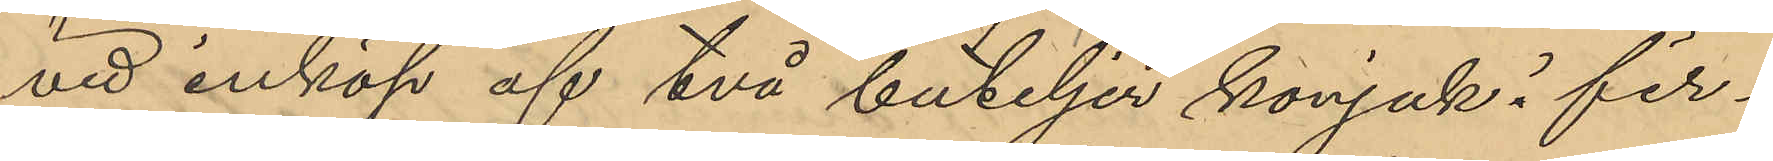vid inköp af två buteljer konjak i fir¬
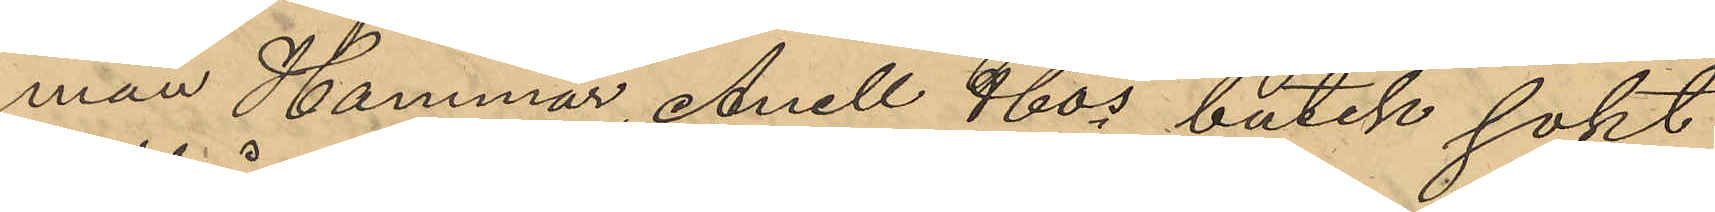man Hammar, Anell &Cos butik sokt
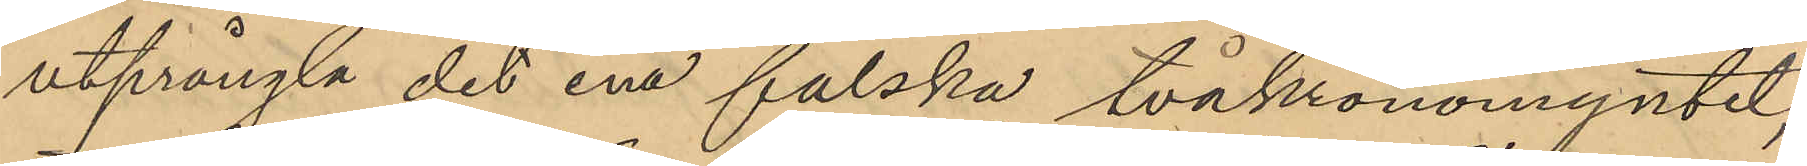utprångla det ena falska tvåkronomyntet;
